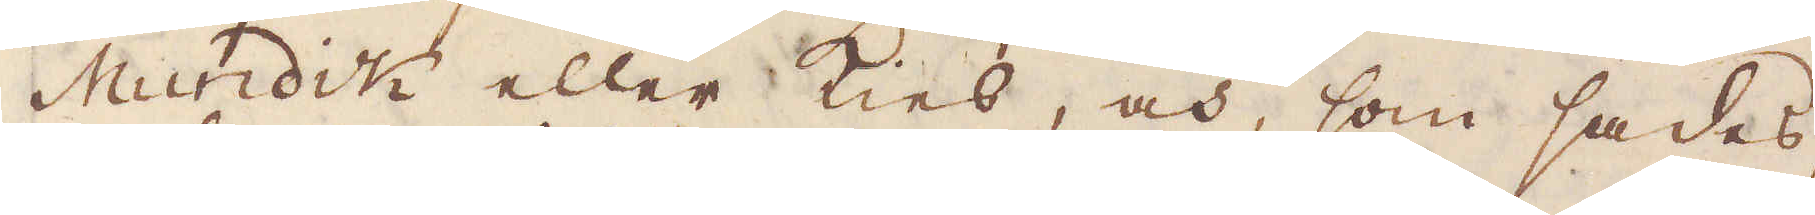Mundick eller Kies, och, som sades,
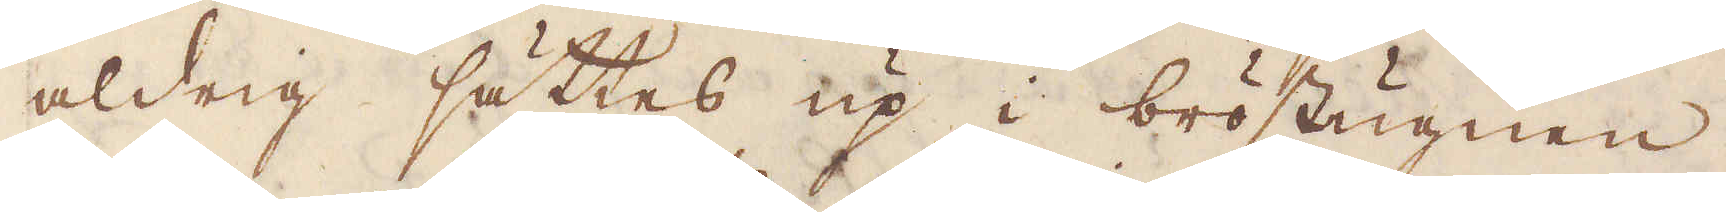aldrig sättes up i bröstugnen,
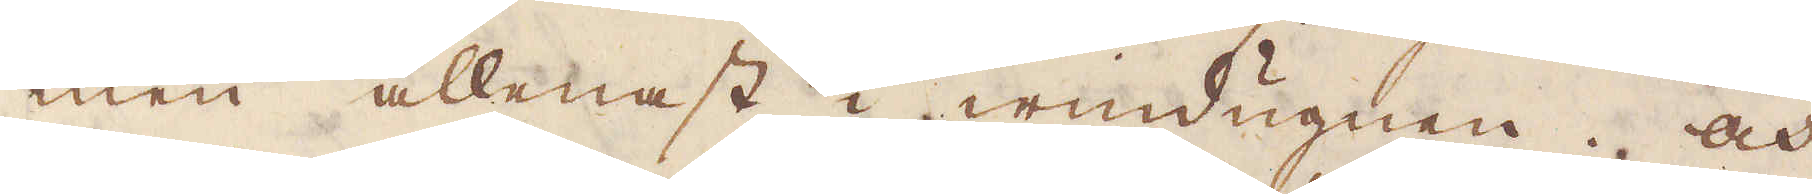men allenast i windugnen. Och
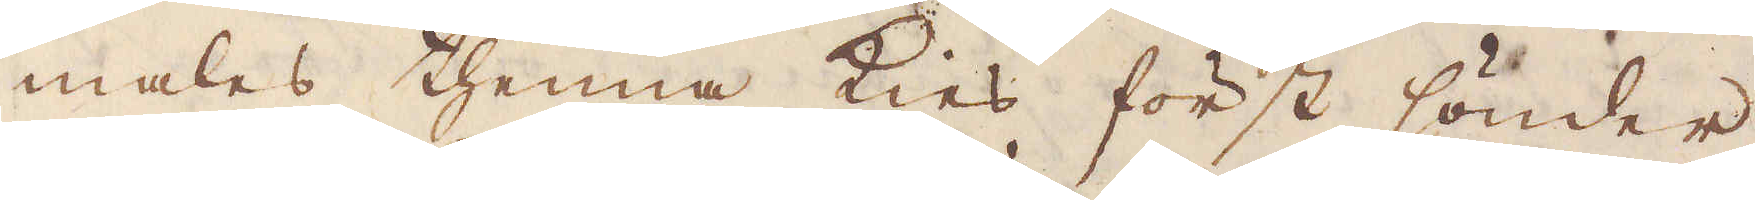males thenna Kies först sönder
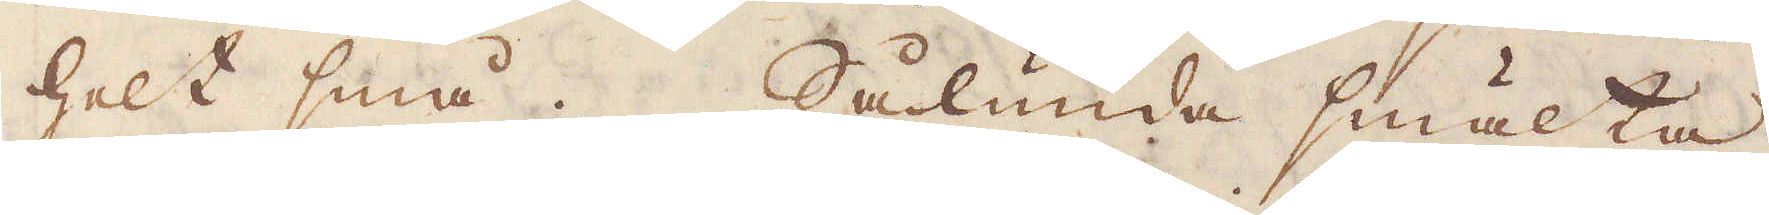helt små. Sålunda smälta
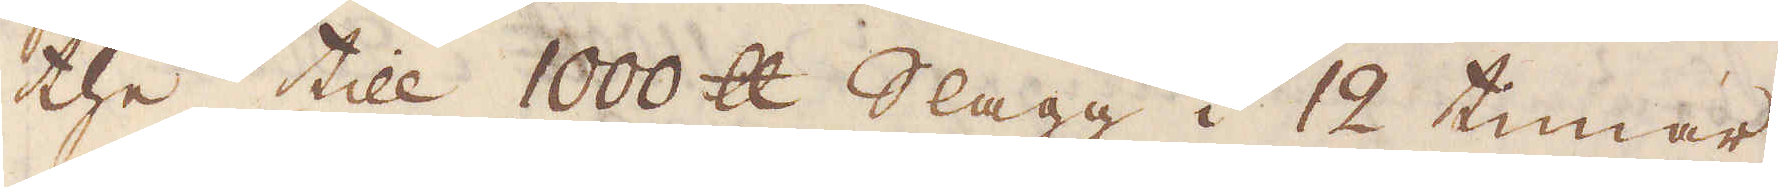the till 1000 skålpund Slagg i 12 timar,
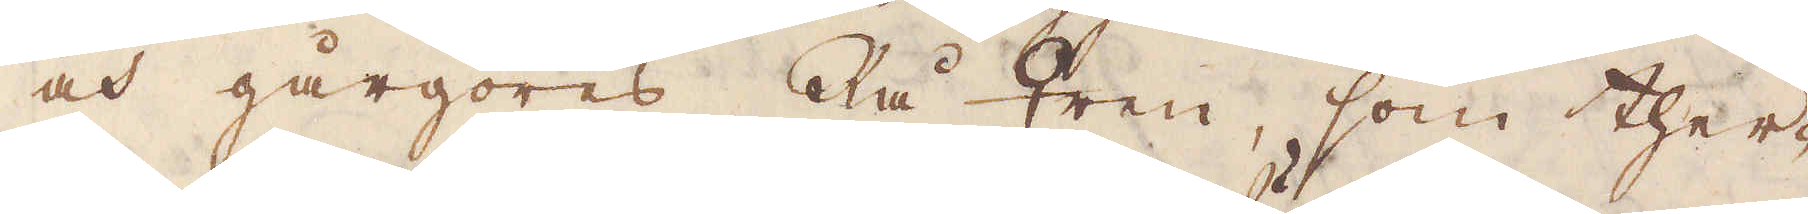och gårgöres Rå ♀ren, som ther-
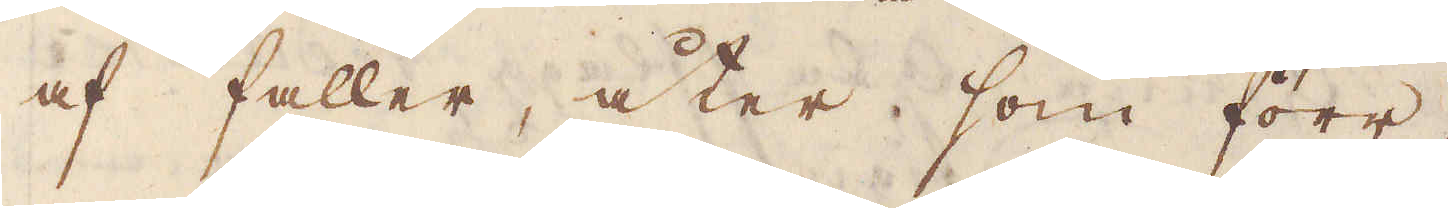af faller, åter som förr.
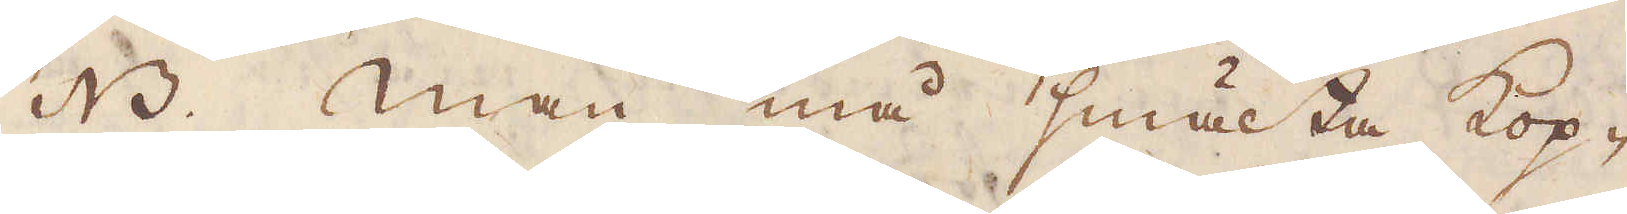NB. Man må smälta kop-
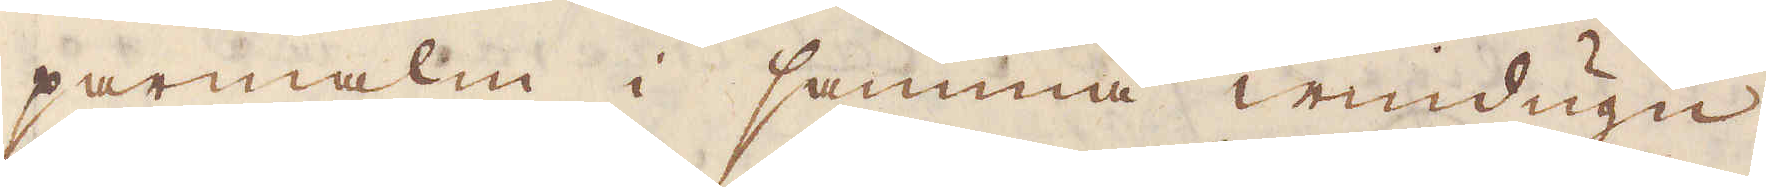parmalm i samma windugn,
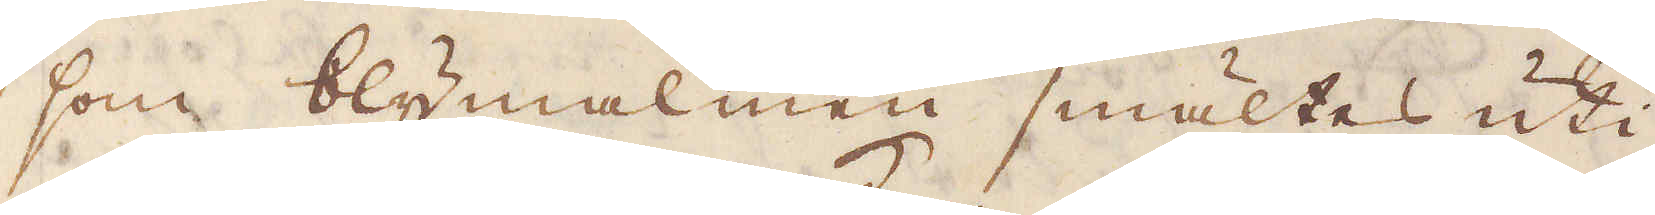som blymalmen smältes uti,
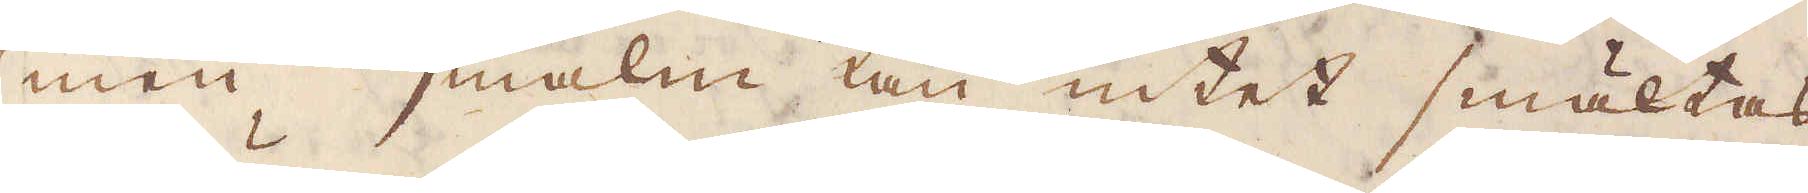men ♄malm kan intet smältas
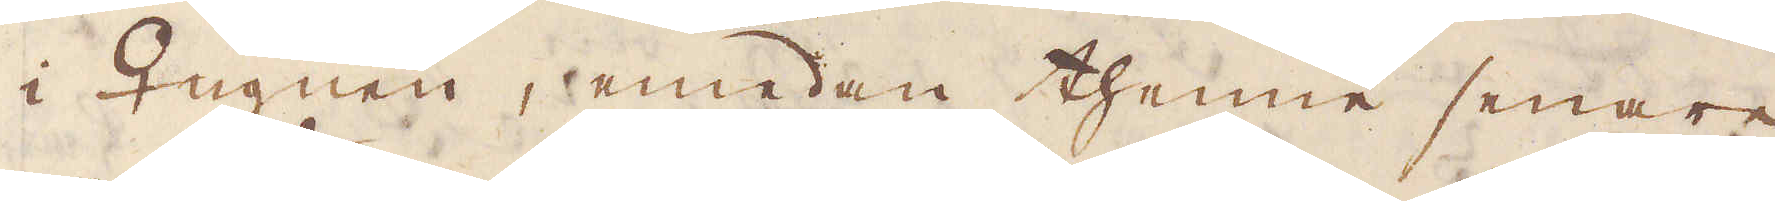i ♀ugnen, emedan thenne senare
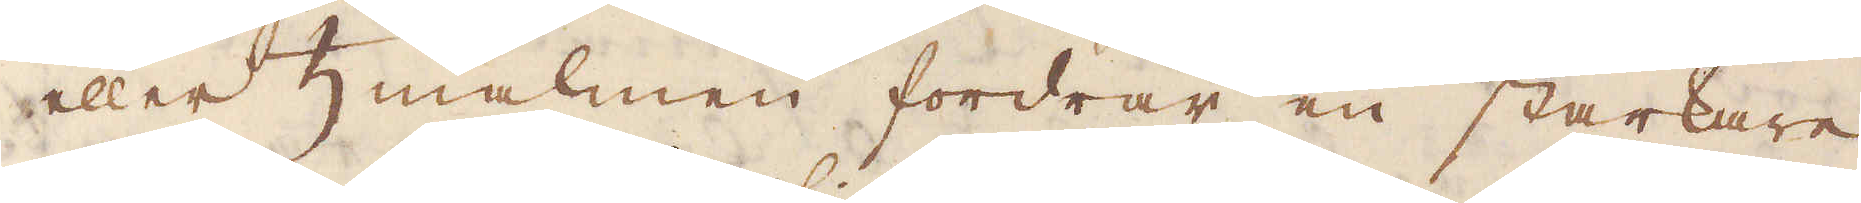eller ♄malmen fordrar en starkare
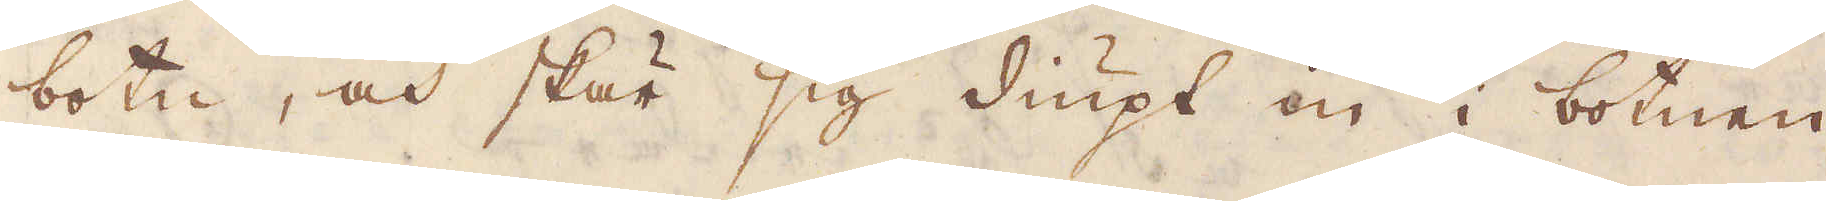botn, och skär sig diupt in i botnen
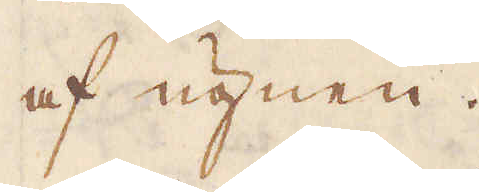af ugnen.
